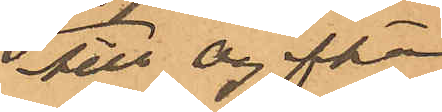till Ogifta
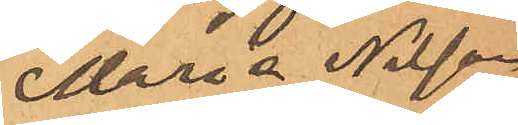Maria Nilson
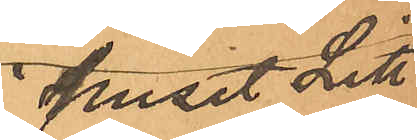i huset Litt
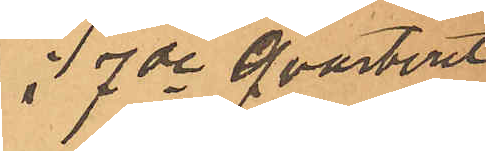i 7 de Qvarteret
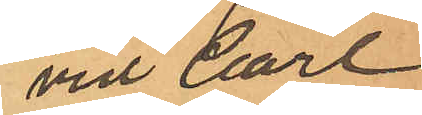vid Carl
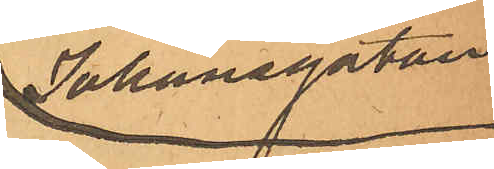Johansgatan
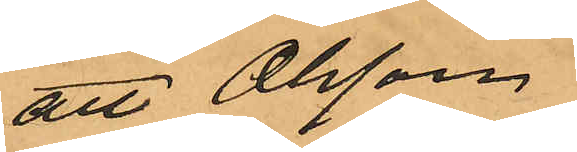att Olsson,
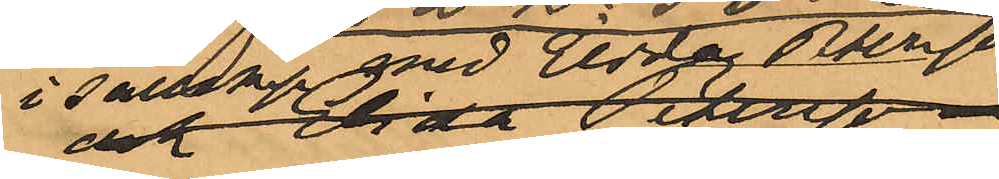i sällskap med Elida Petersson
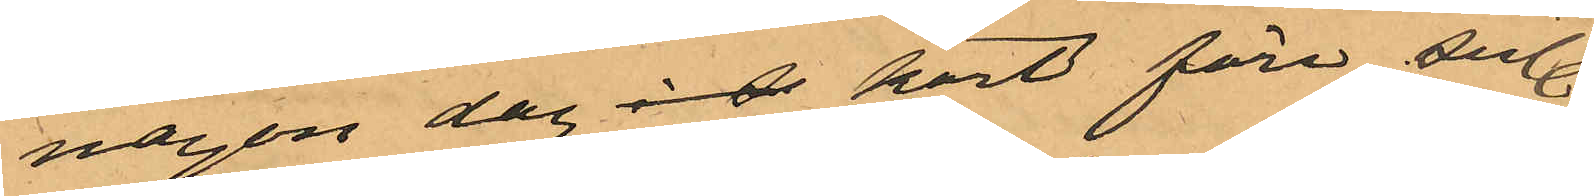någon dag i d kort före sistl
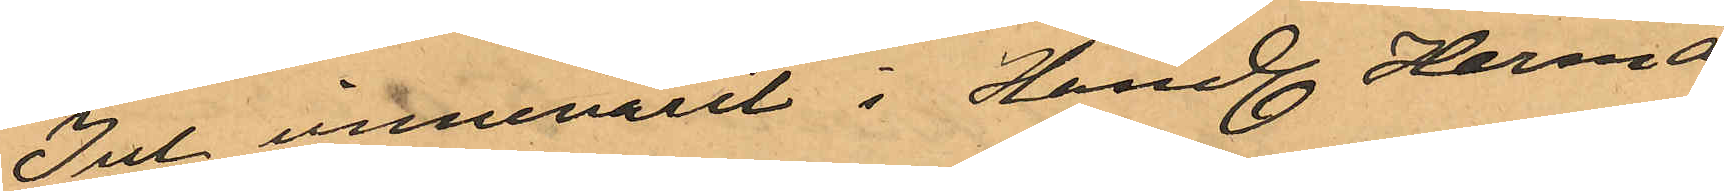Jul innevarit i Handl. Herman
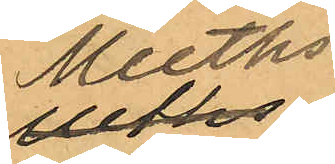Meeths
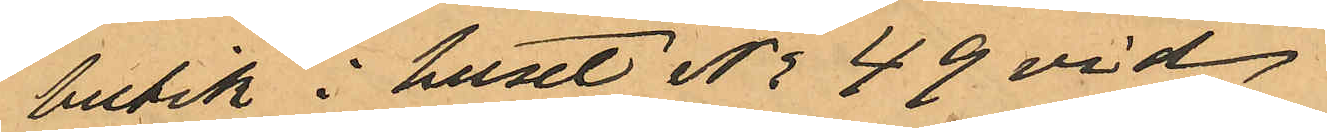butik i huset No 49 vid
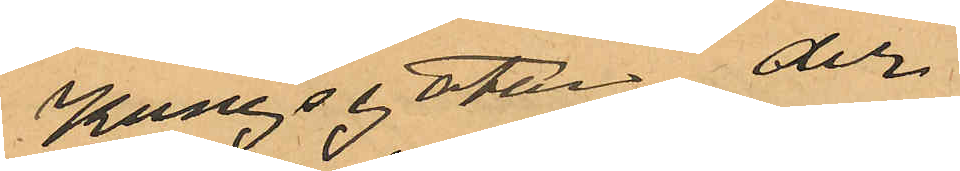Kungsgatan, der
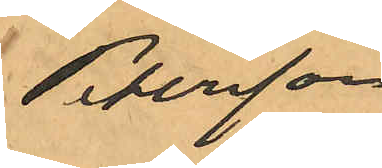Petersson
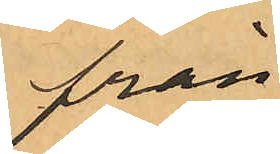från
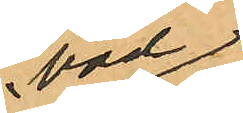bod¬
